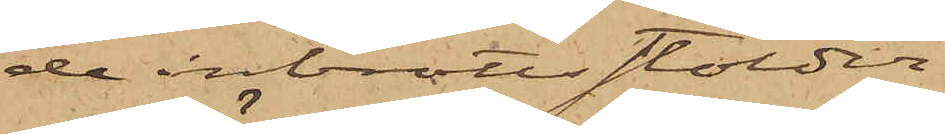de inbrottsstölder.
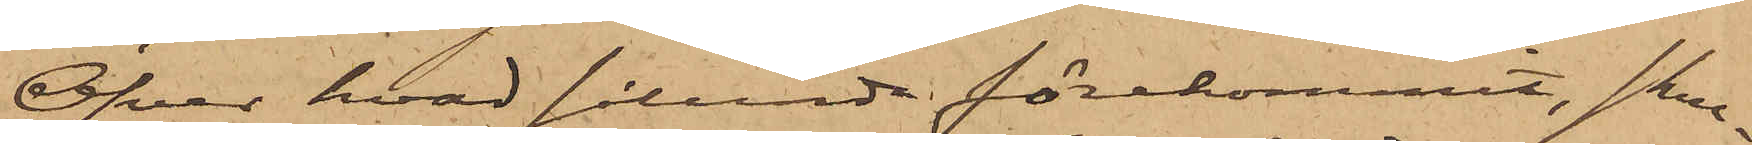Öfver hvad sålunda förekommit, skul¬
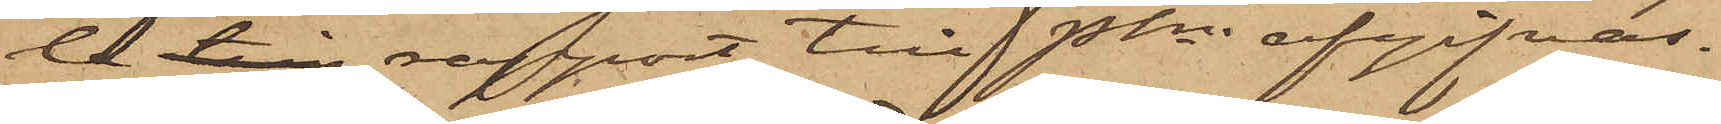de till rapport till Pkn afgifvas.
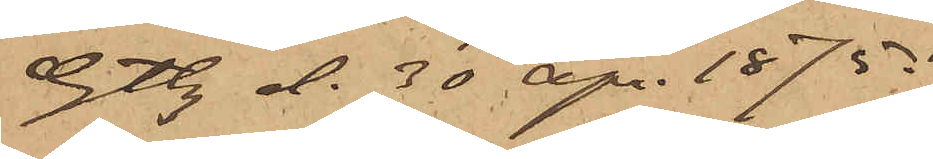Gtbg d. 30 apr. 1875.
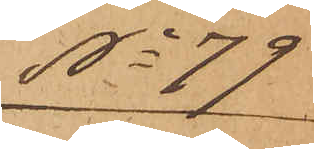No 79
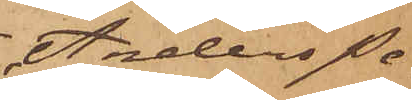Anders Pe¬
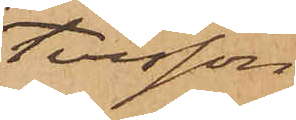tersson
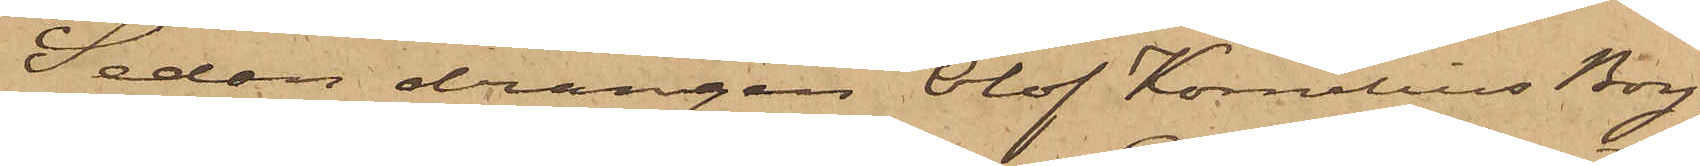Sedan drängen Olof Kornelius Borg
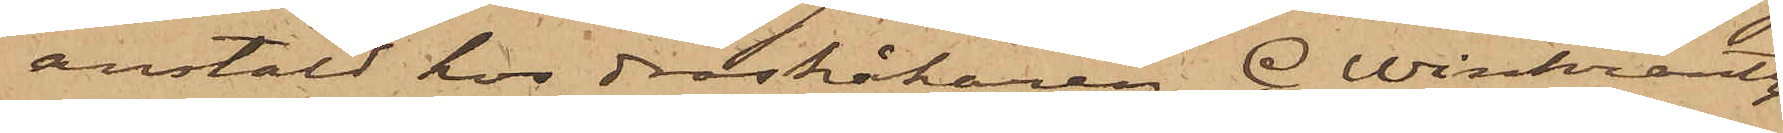anstäld hos droskåkaren C. Winkrantz
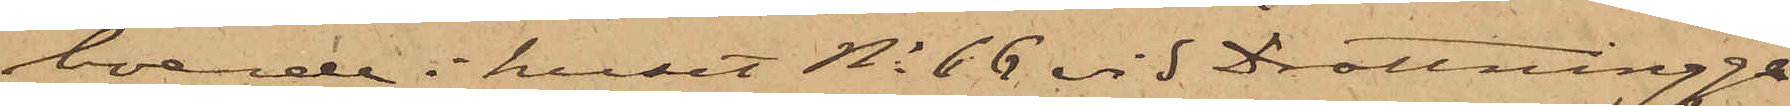boende i huset No 66 vid Drottningga¬
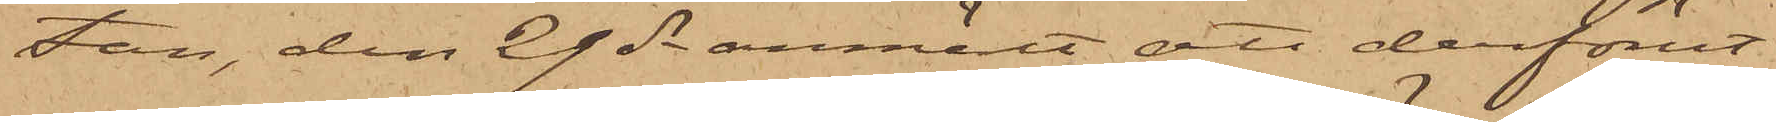tan, den 29 ds anmält att derförut¬
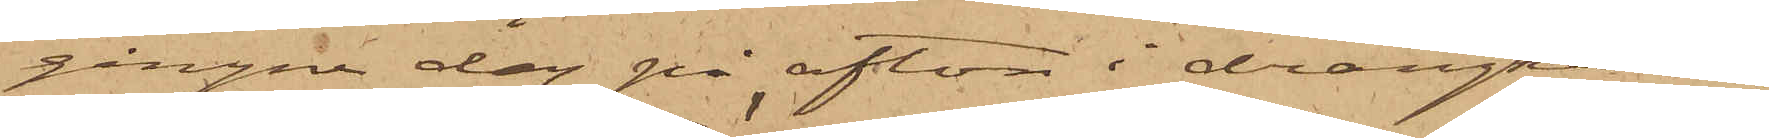gångne dag på afton i drängkam¬
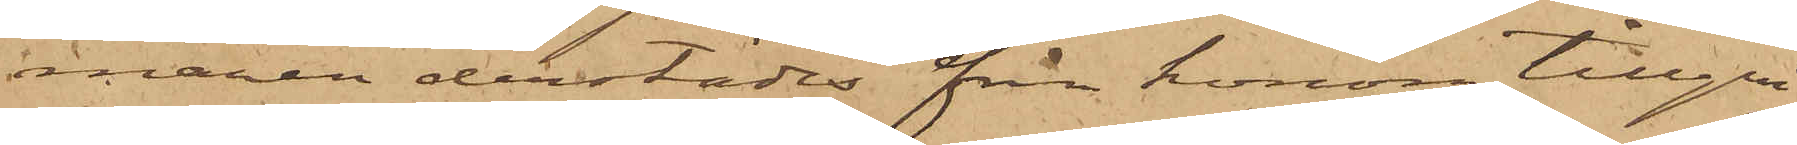maren derstädes från honom tillgri¬
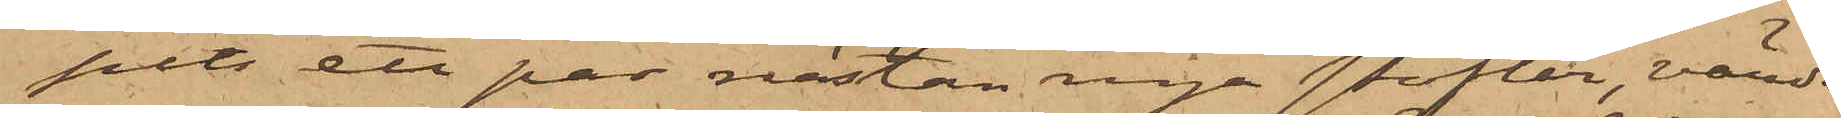pits ett par nästan nya stöflar, värde
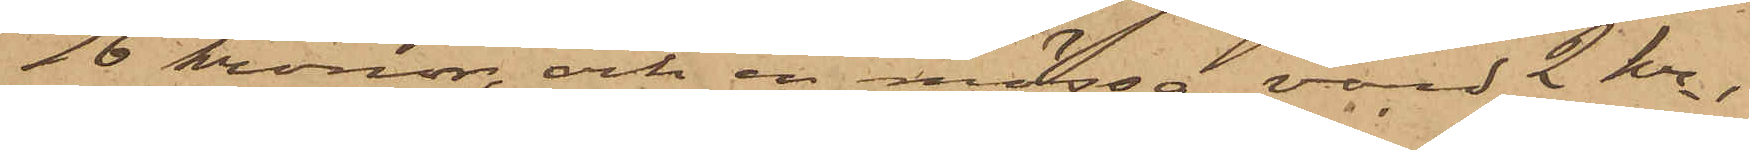16 kronor, och en mössa, värd 2 kr;
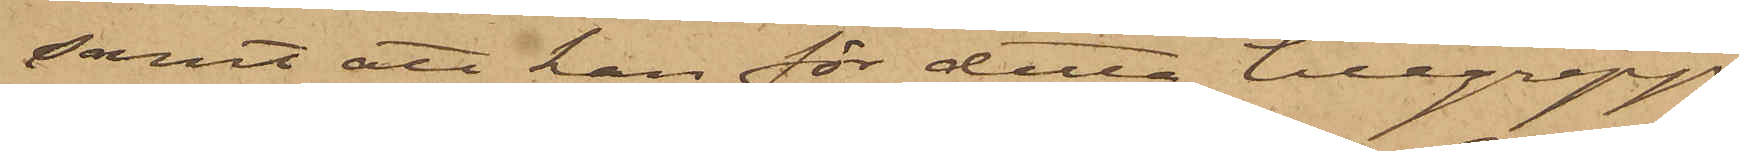samt att han för detta tillgrepp
